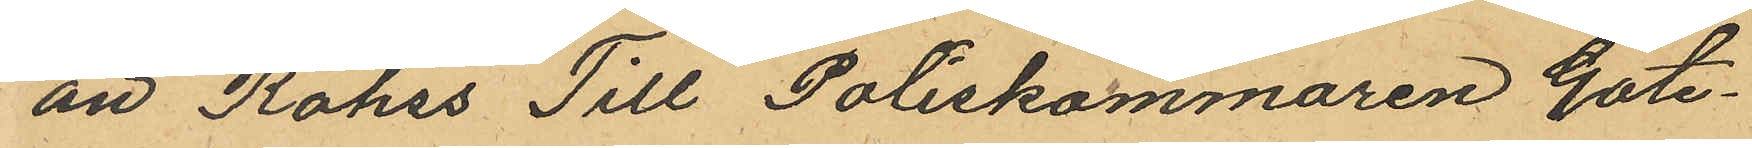an Röhss Till Poliskammaren Göte¬
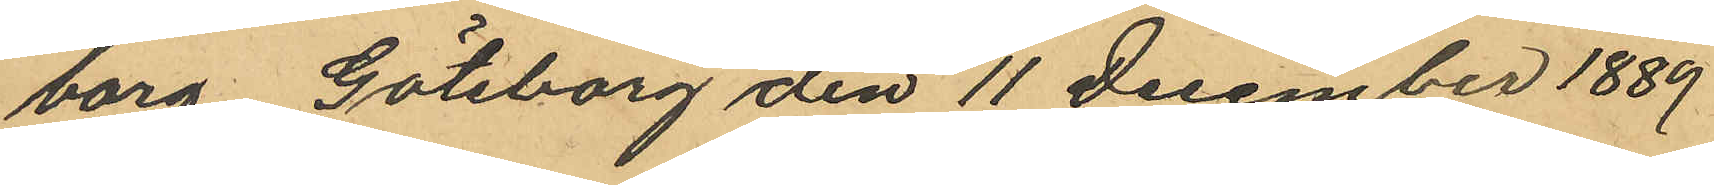borg. Göteborg den 11 December 1889
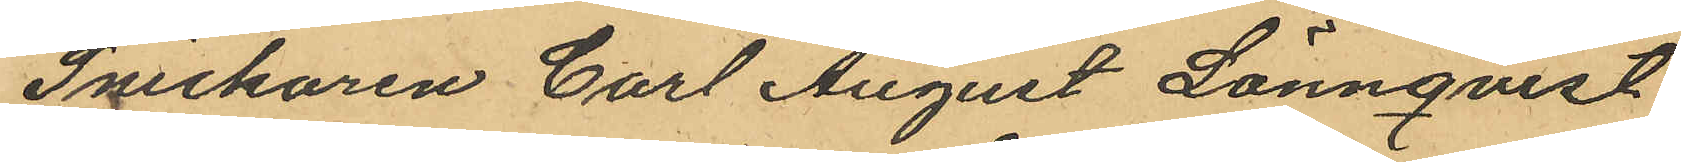Snickaren Carl August Lönnqvist
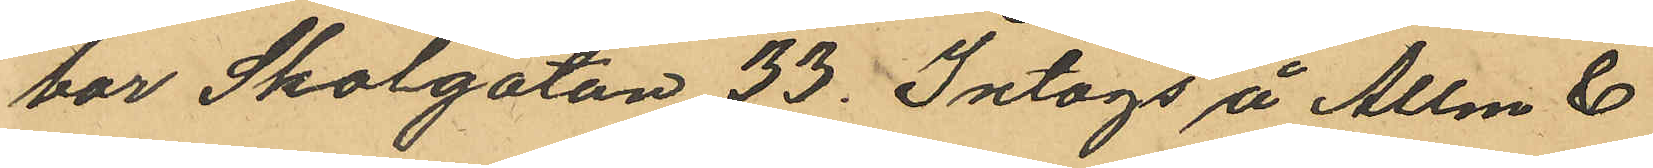bor Skolgatan 33. Intogs å Allm &
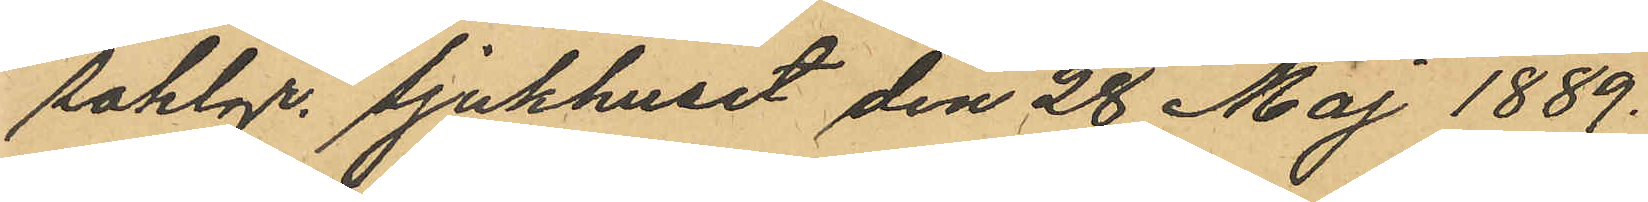Sahlgr. sjukhuset den 28 Maj 1889.
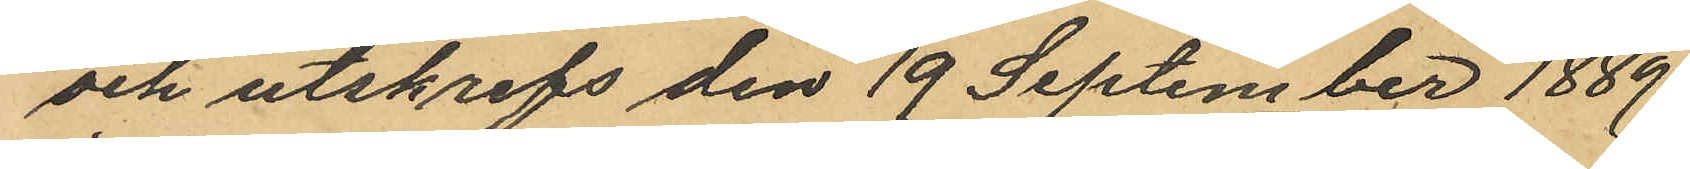och utskrefs den 19 September 1889.
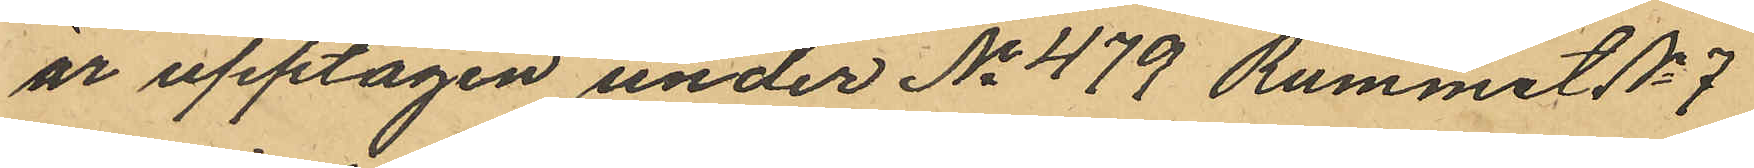är upptagen under No 479 Rummet No 7
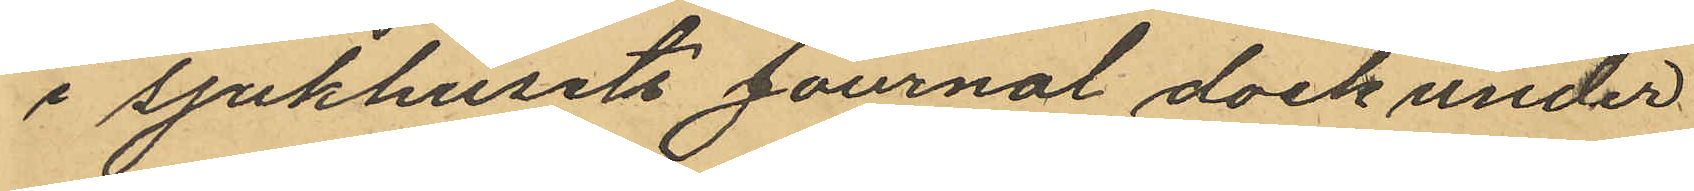i sjukhusets Journal dock under
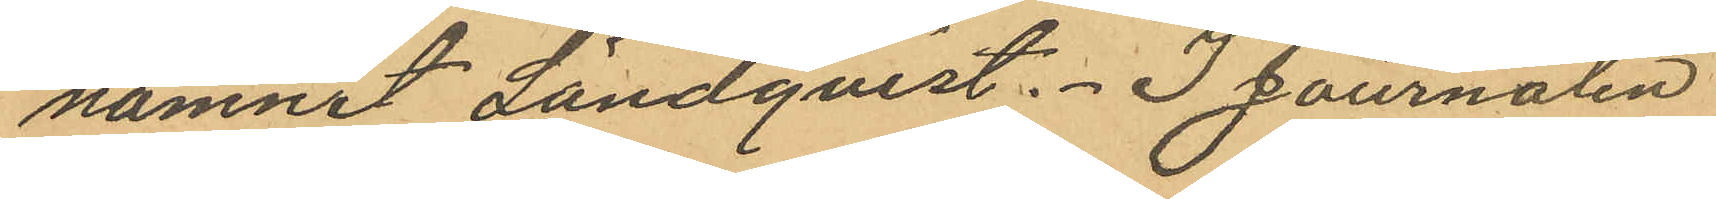namnet Ländqvist. I Journalen
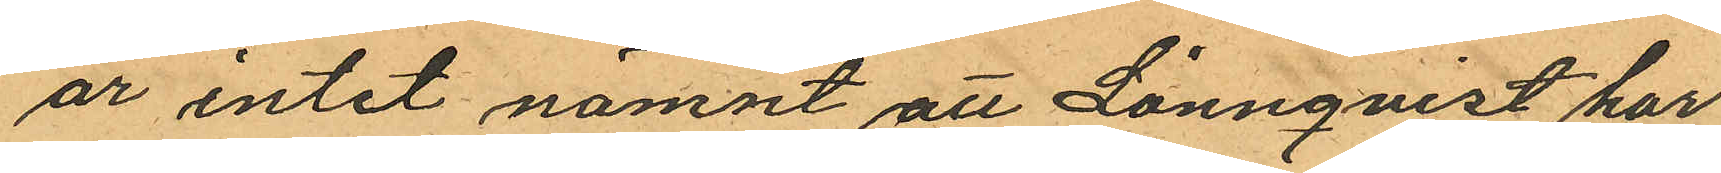är intet nämnt att Lönnqvist har
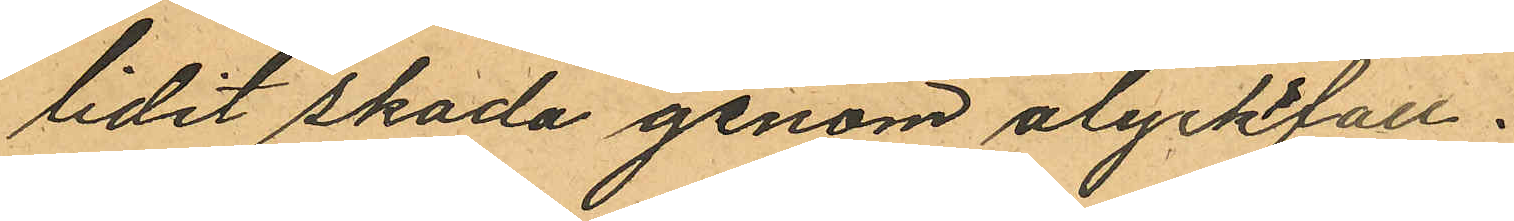lidit skada genom olyckfall.
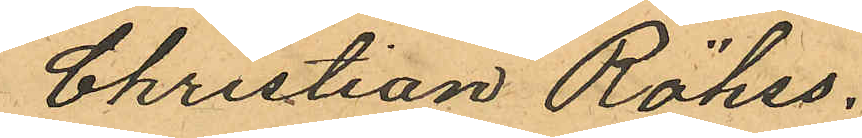Christian Röhss.
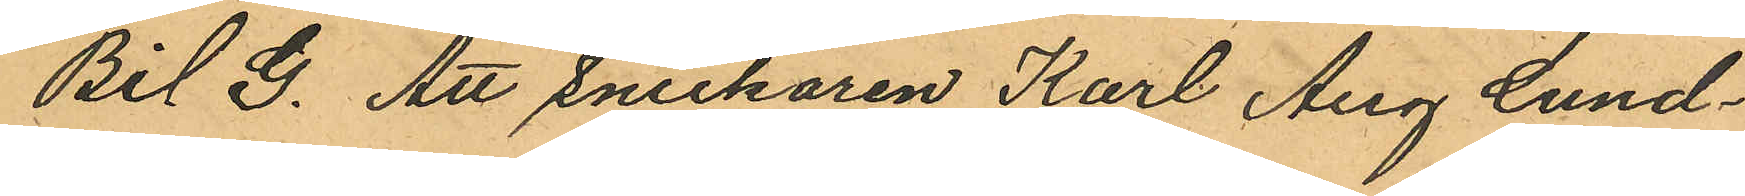Bil G. Att Snickaren Karl Aug Lund¬
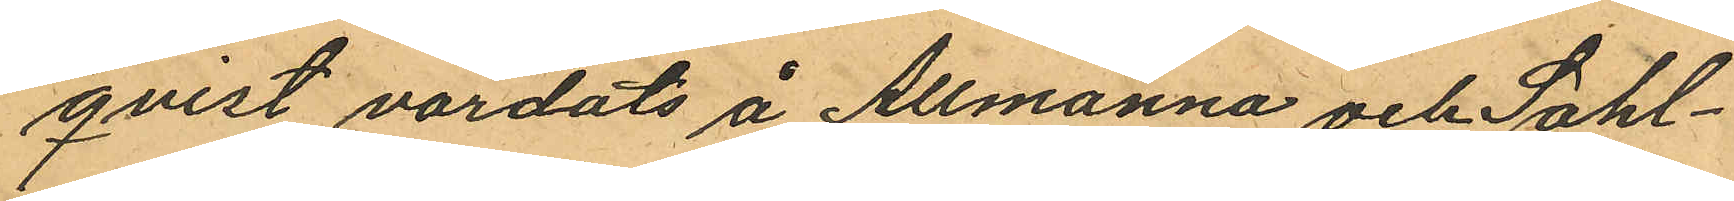qvist vårdats å Allmänna och Sahl¬
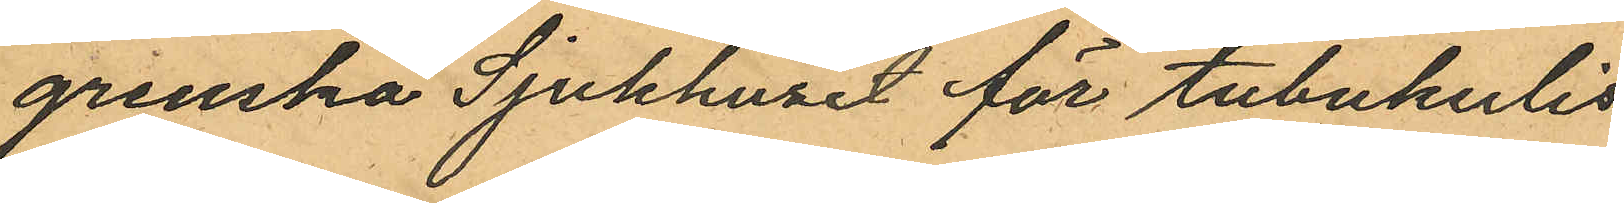grenska Sjukhuset för tubukulis
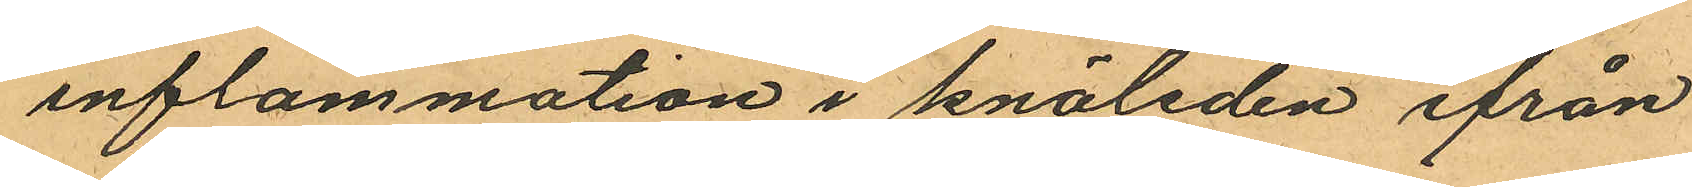inflammation i knäleden ifrån
